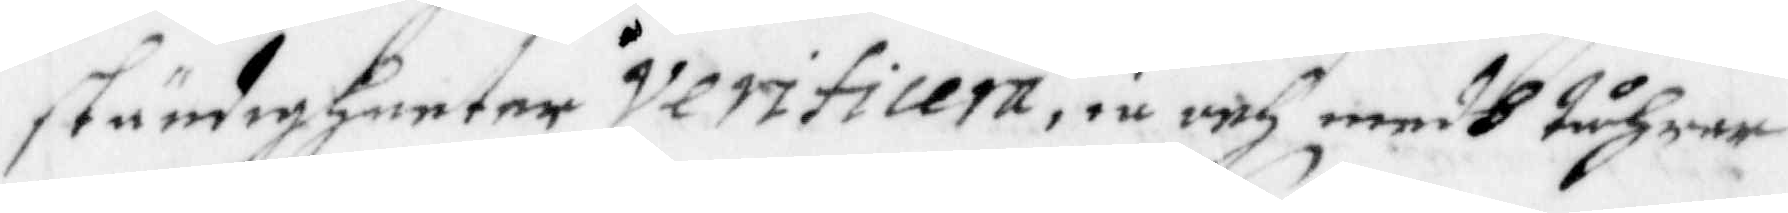ständigheeter Verificera, iu ocj medh Thårar
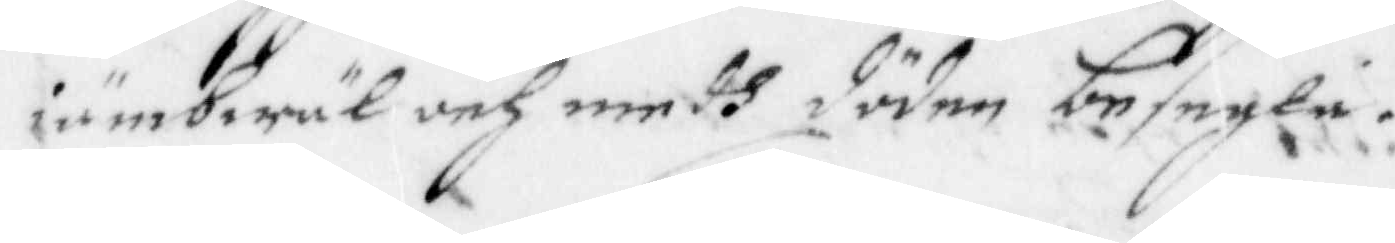iämbwäl och medh döden besegla.
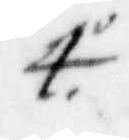4o
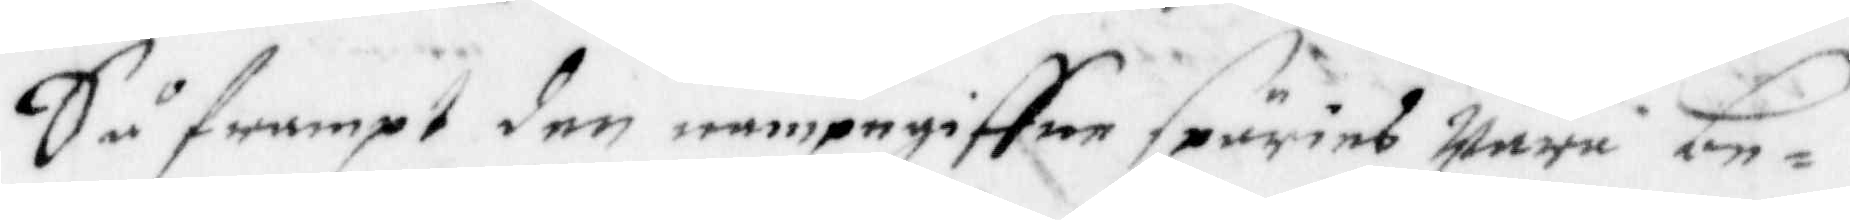Såframpt den nampegiffne spuries wara be¬
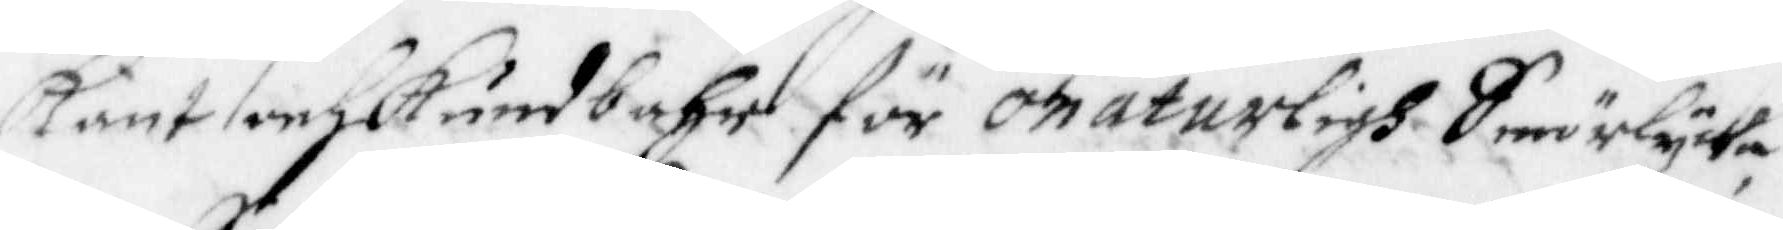känt och kundbahr för onaturligh Smörlycka
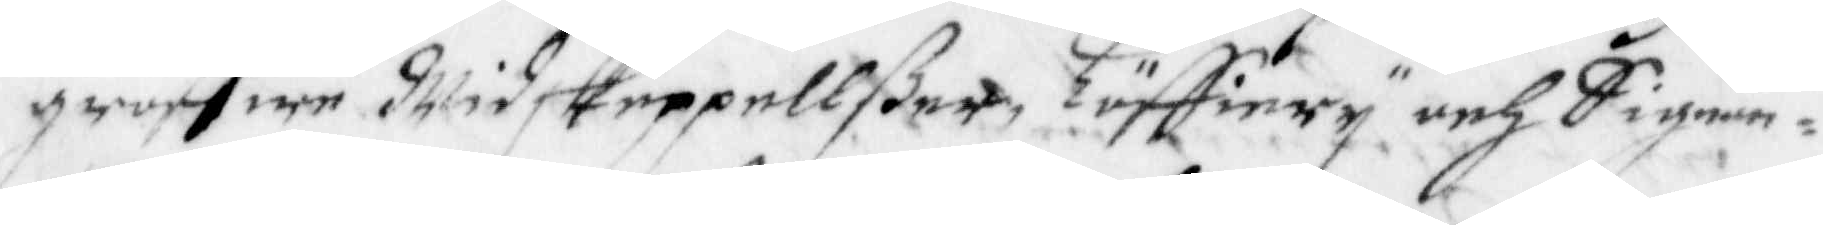groffwa Widskeppellßer, Löffery och Signan¬
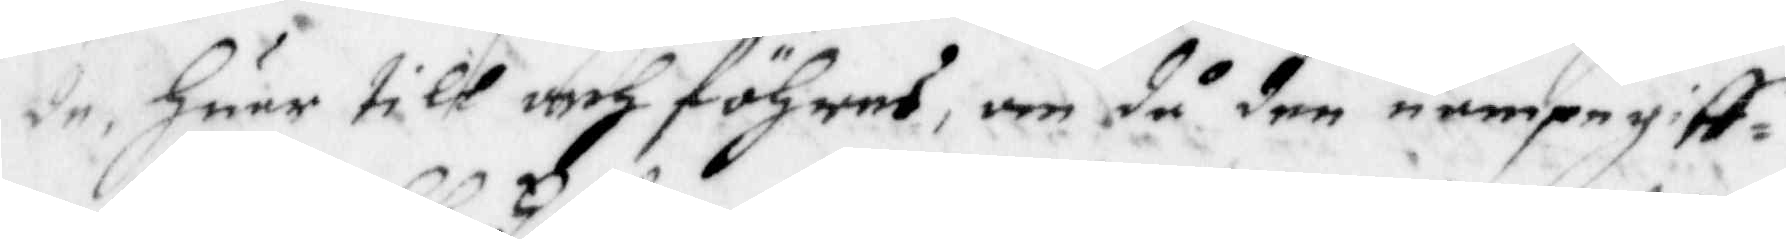de, huar till och föhres, om då den nampegiff¬
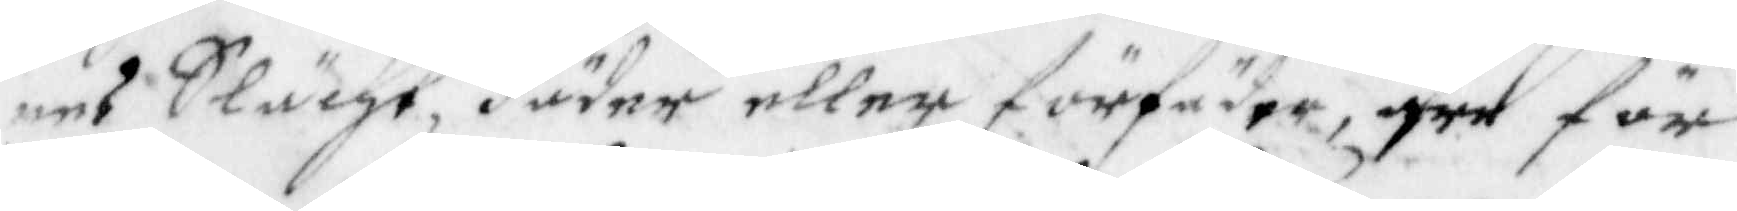nes Slächt, Fäder eller förfäder, äre för
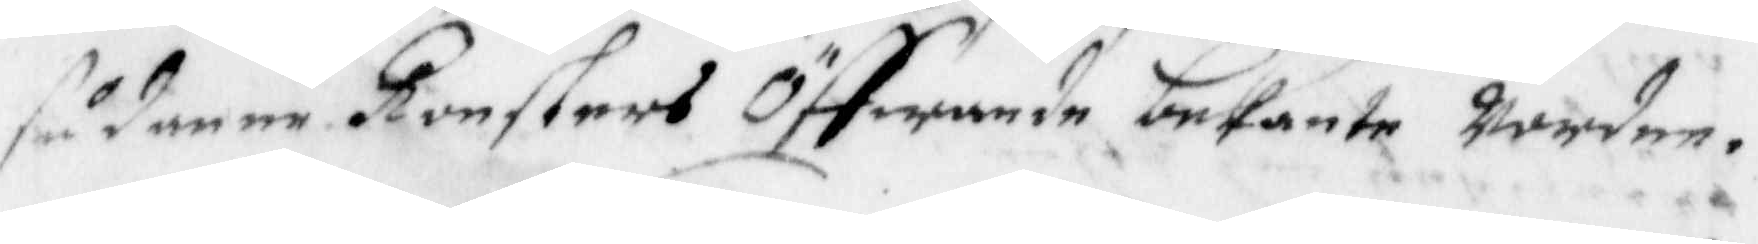sådanne Konsterns Öffwande bekante wordne.
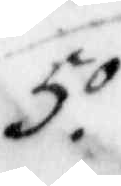5o
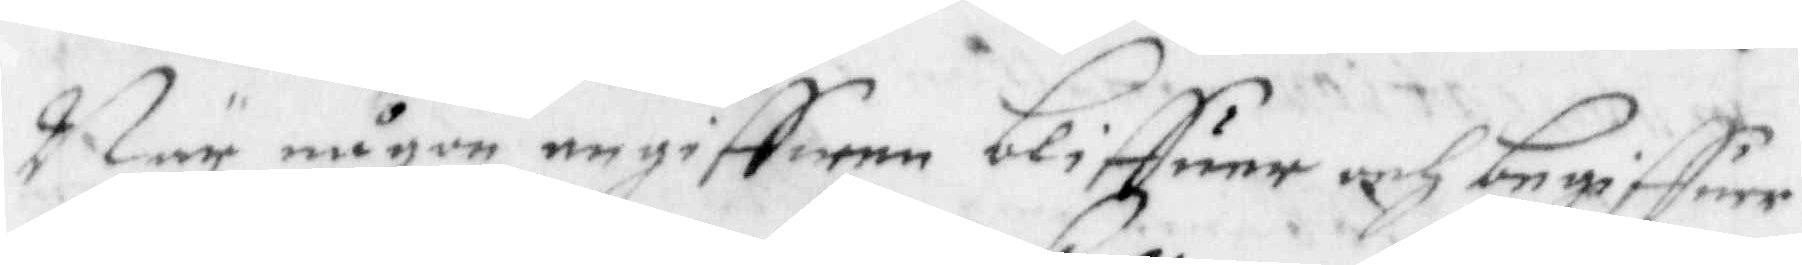När någon angiffwen bliffuer och begiffuer
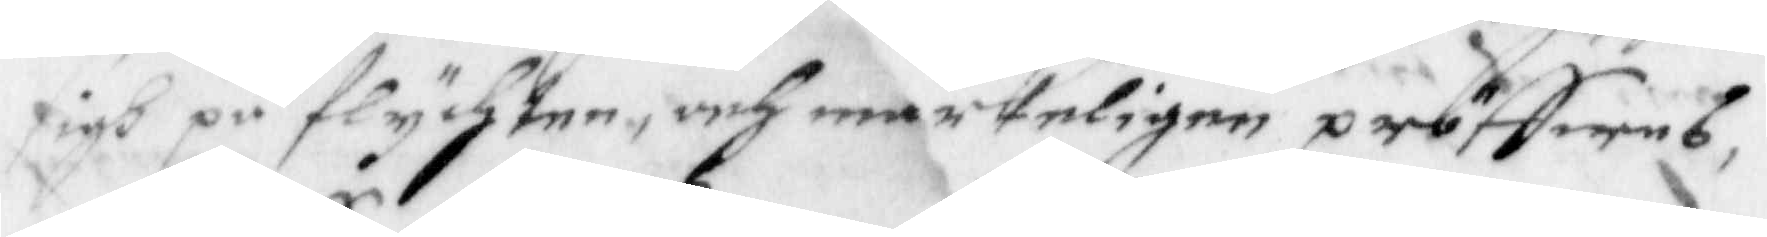sigh på flychten, och märkeligen pröffwes,
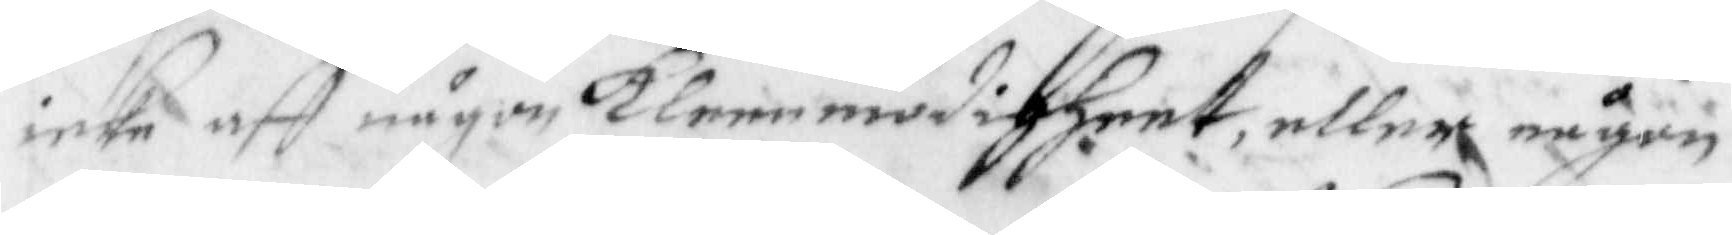icke aff någon Klenmodigheet, eller någon
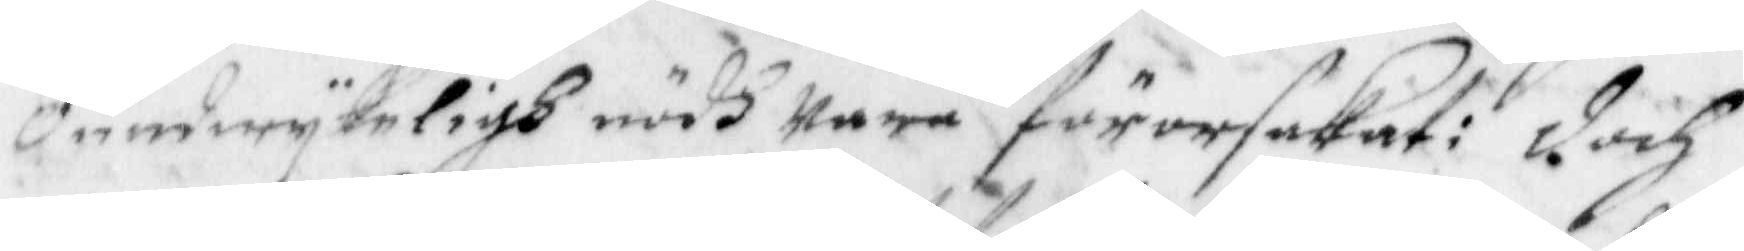oundwykeligh nödh wara förorsakat: doch
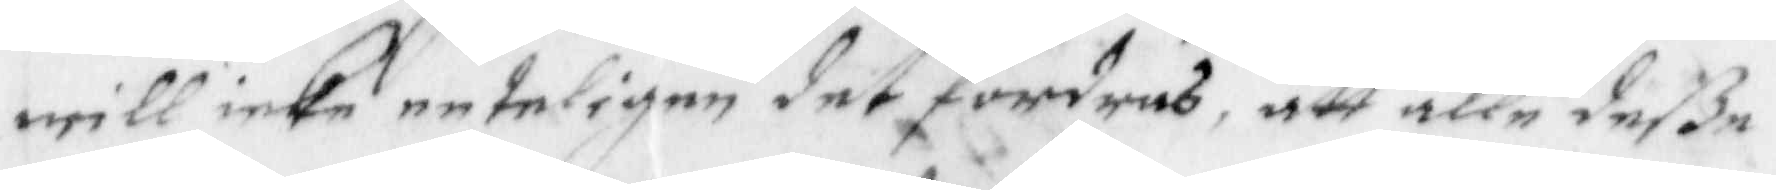will icke enteligen det fordras, att alle deße
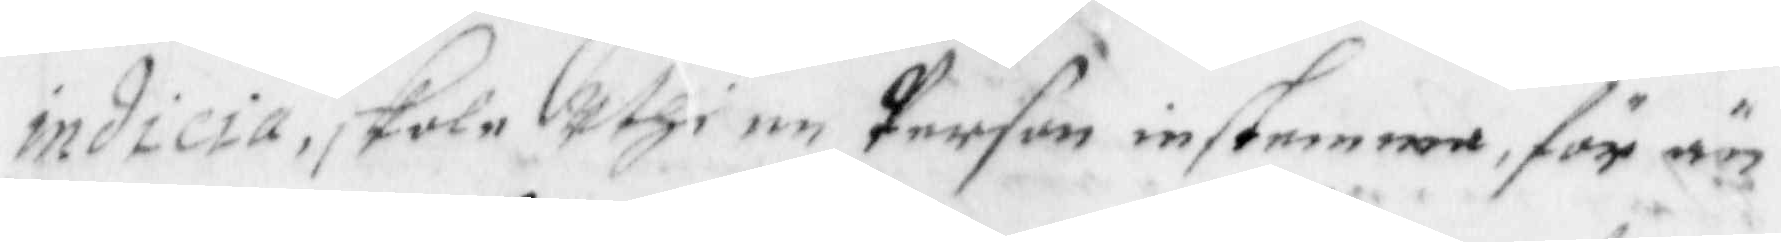indicia, skola uthi en person instemma, för än
